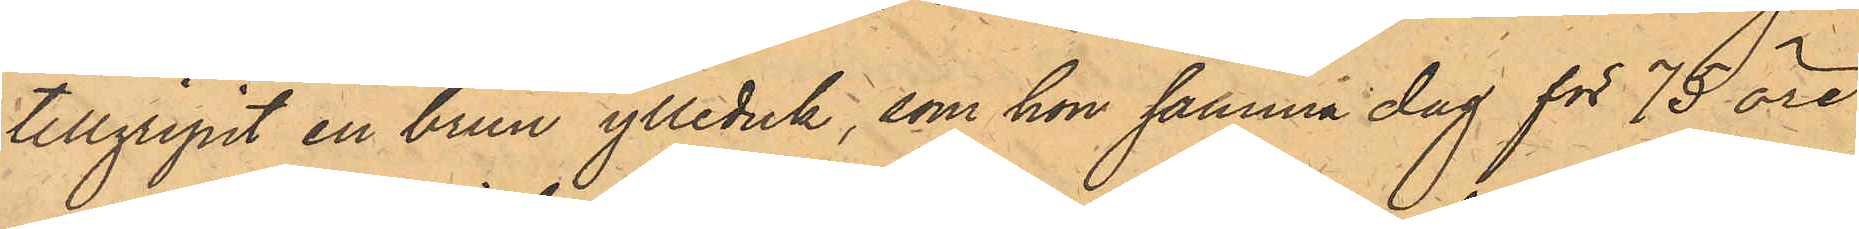tillgripit en brun ylleduk, som hon samma dag för 75 öre
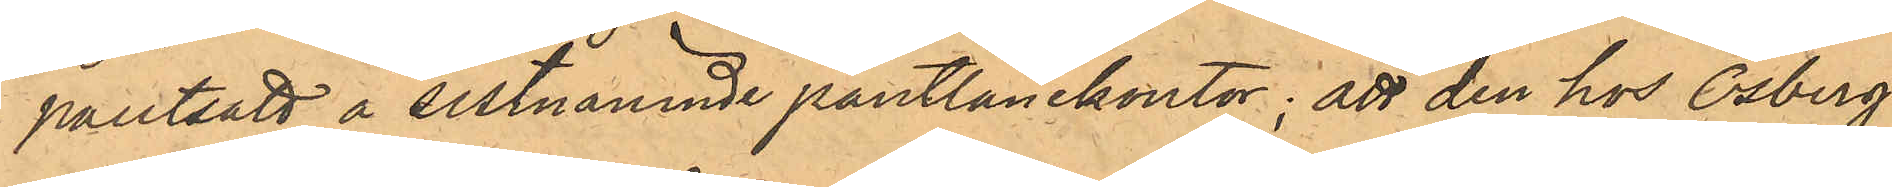pantsatt å sistnämnde pantlånekontor; att den hos Osberg
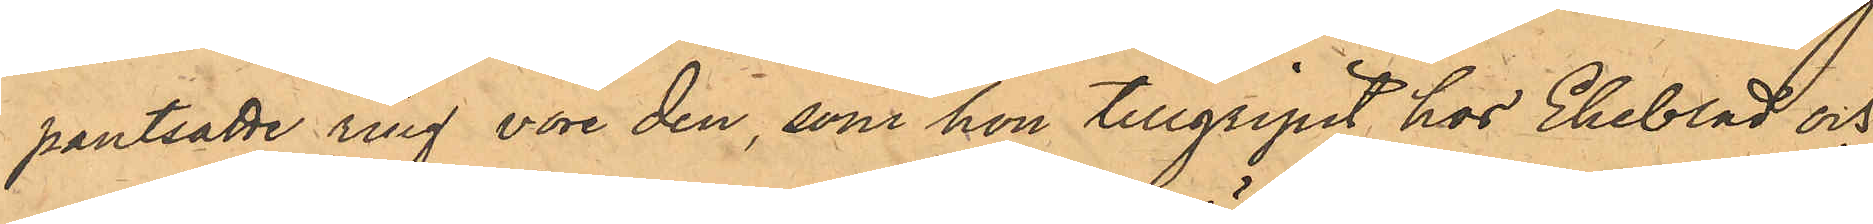pantsatte ring vore den, som hon tillgripit hos Ekeblad och
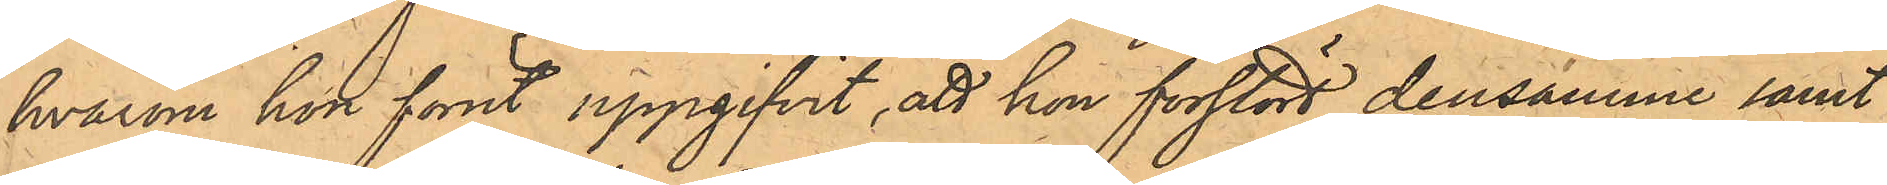hvarom hon förut uppgifvit, att hon förstört densamme samt
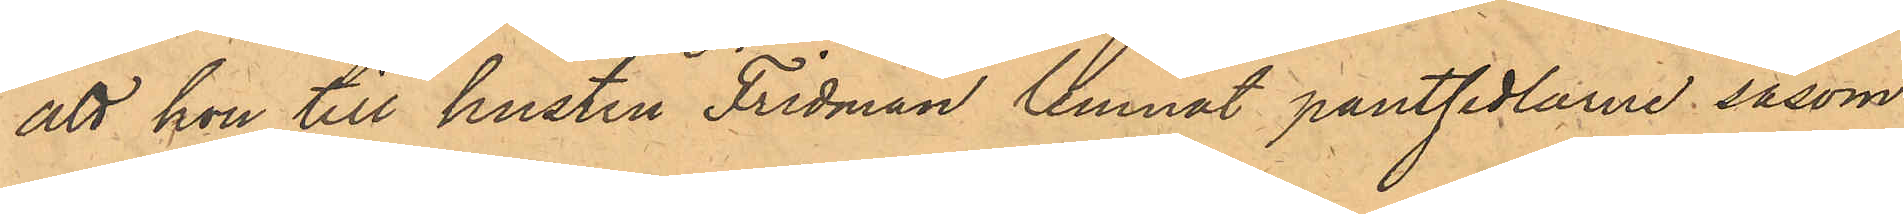att hon till hustru Fridman lemnat pantsedlarne såsom
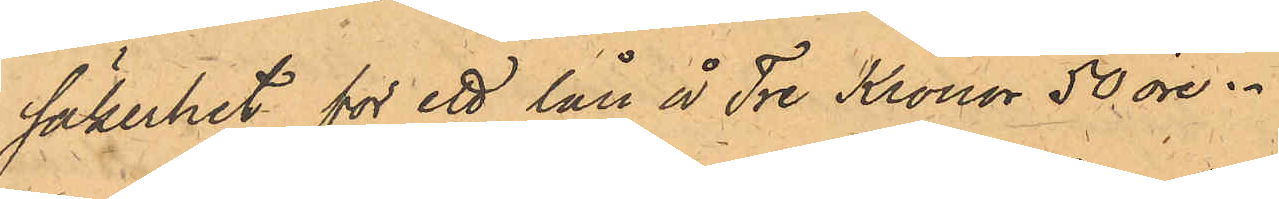Säkerhet för ett lån å Tre Kronor 50 öre.
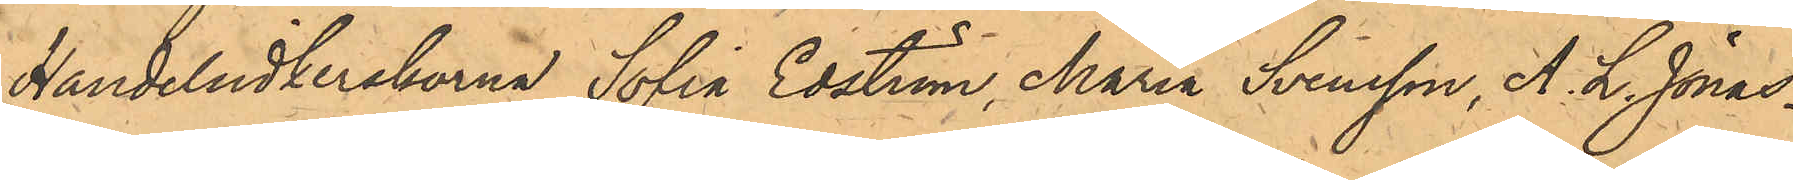Handelsidkerskorna Sofia Edström. Maria Svensson, A. L. Jonas¬
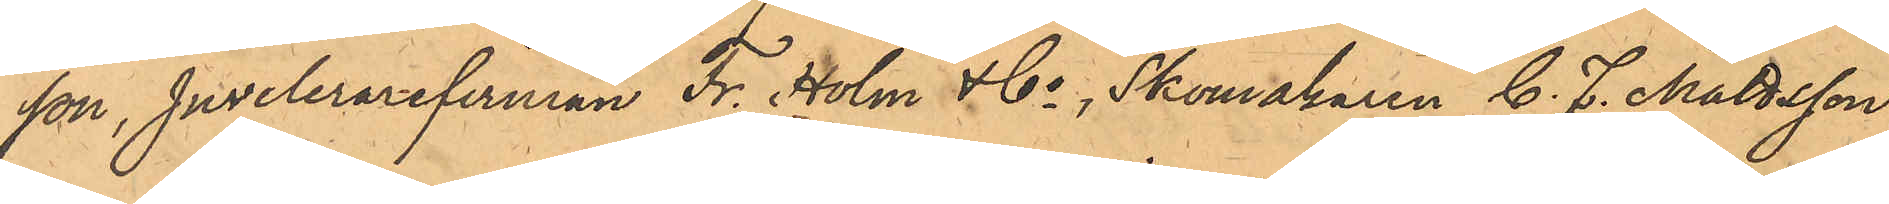son, Juvelerarefirman Fr. Holm & Co, Skomakaren C. F. Mattsson,
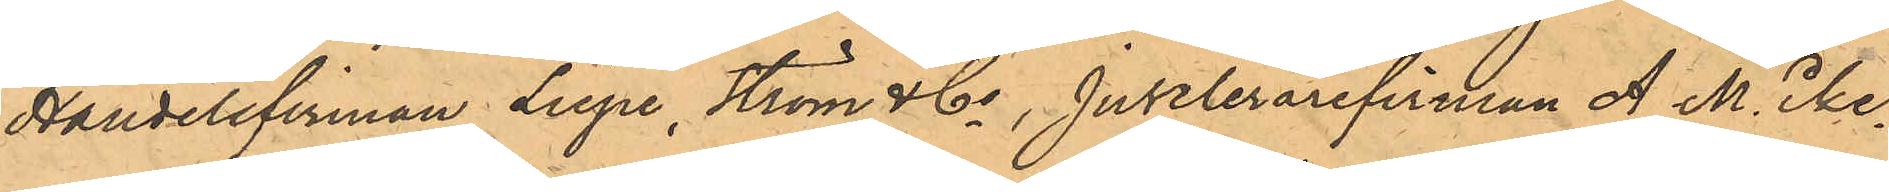Handelsfirman Liepe, Ström & Co, Juvelerarefirman A. M. Eke¬
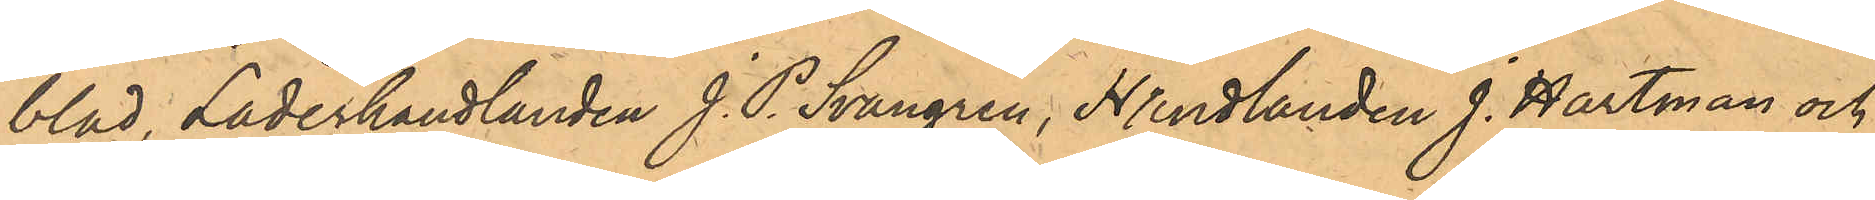blad, Läderhandlanden J. P. Svangren, Handlanden J. Hartman och
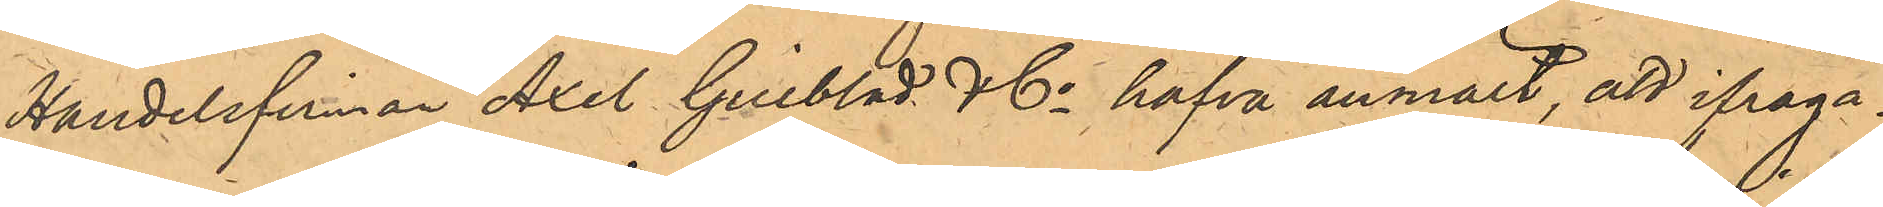Handelsfirman Axel Gillblad & Co hafva anmält, att ifråga¬
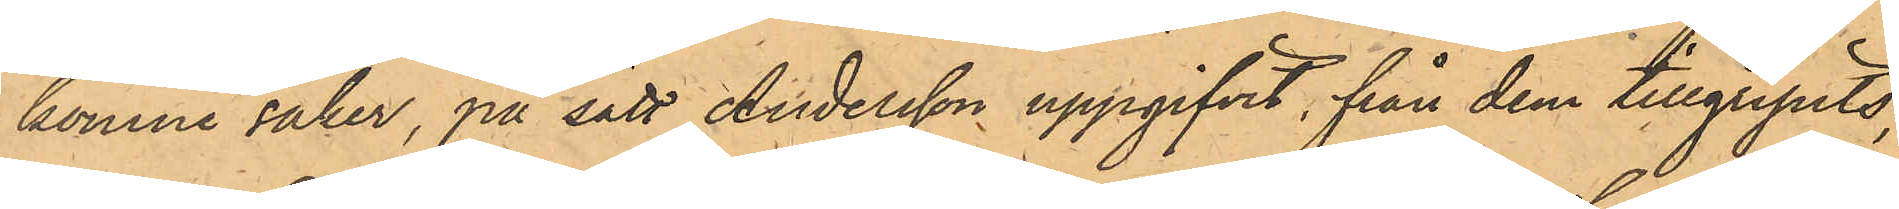komne saker, på sätt Andersson uppgifvit, från dem tillgripits:
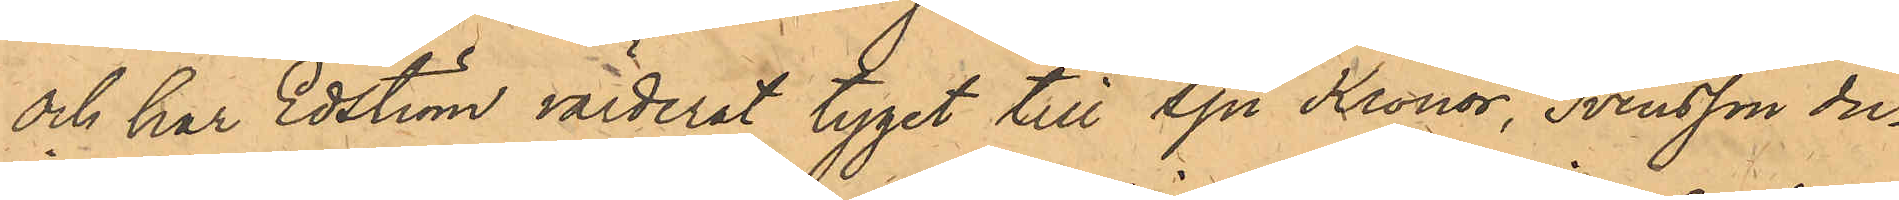och har Edström värderat tyget till Sju Kronor, Svensson du¬
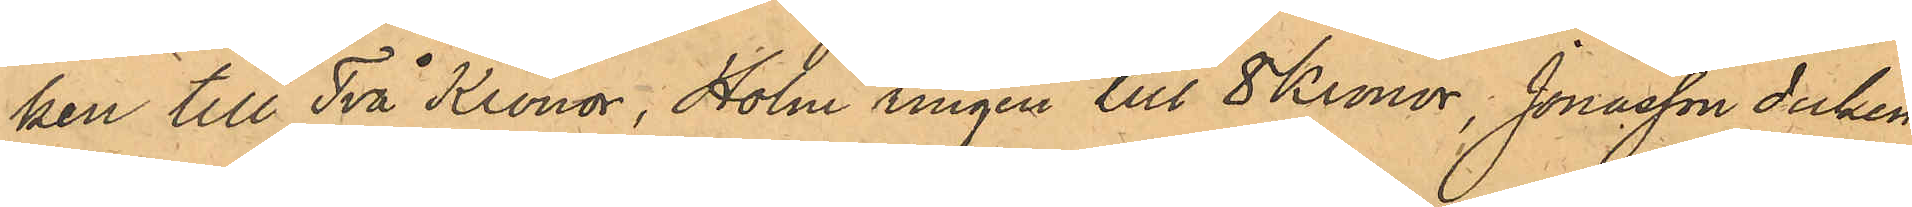ken till Två Kronor, Holm ringen till 8 Kronor, Jonasson duken
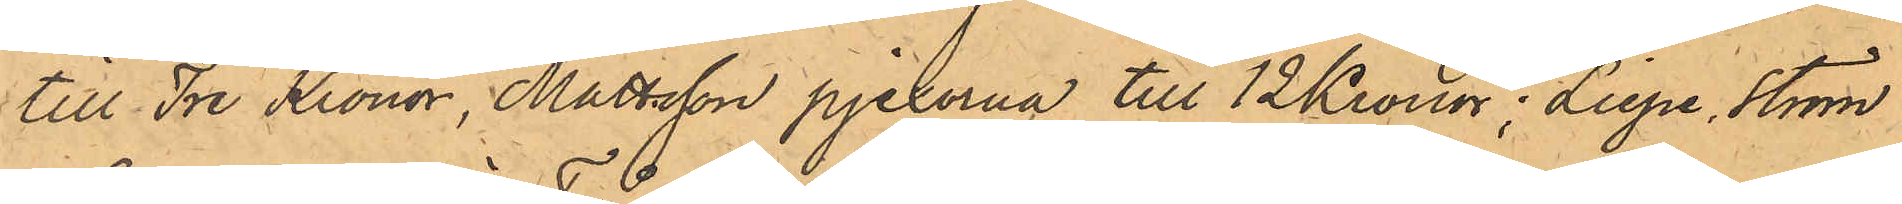till Tre Kronor, Mattsson pjexorna till 12 Kronor; Liepe, Ström 
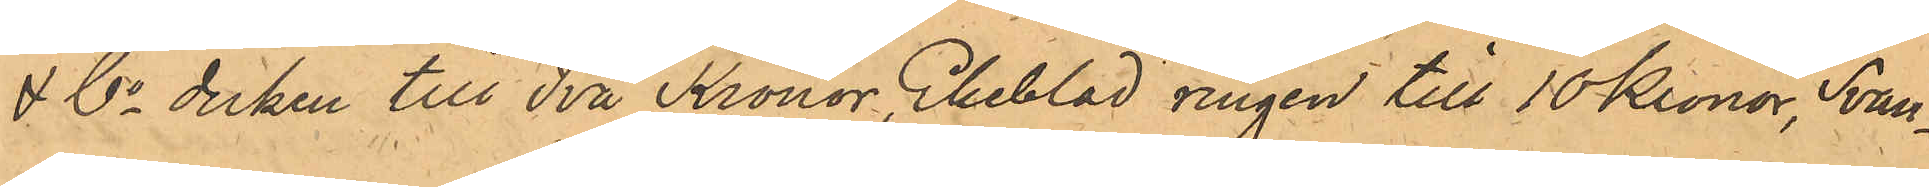& Co duken till Två kronor, Ekeblad ringen till 10 Kronor, Svan¬
